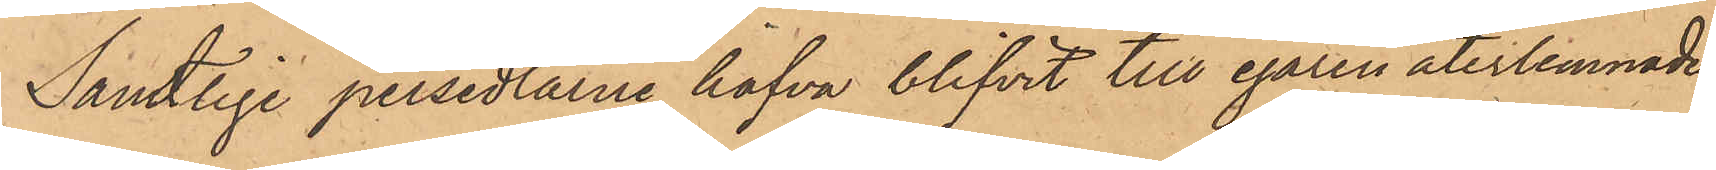Samtlige persedlarne hafva blifvit till egaren återlemnade.
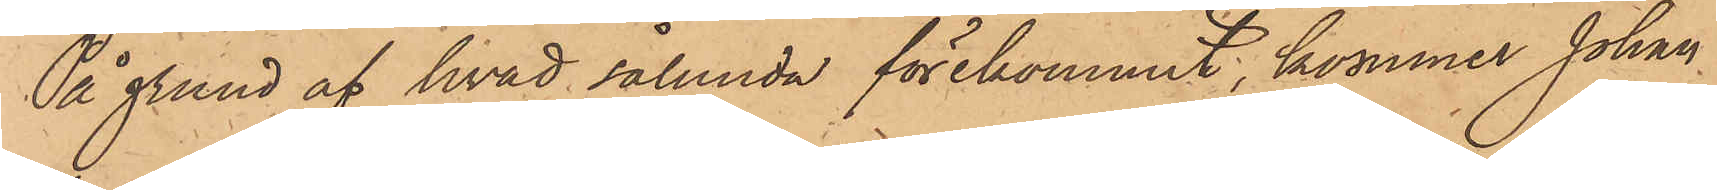På grund af hvad sålunda förekommit, kommer Johan
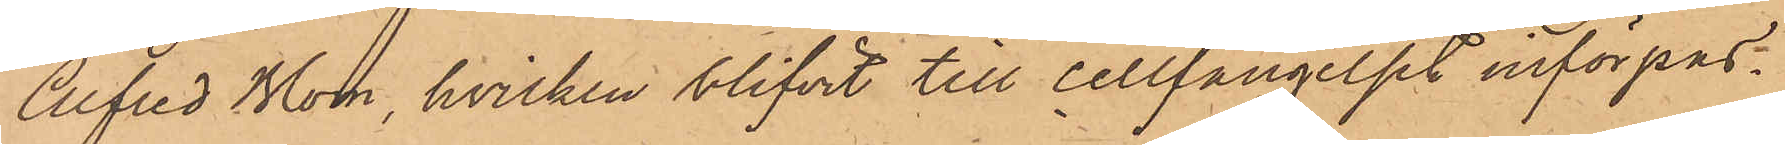Alfred Blom, hvilken blifvit till cellfängelset införpas¬
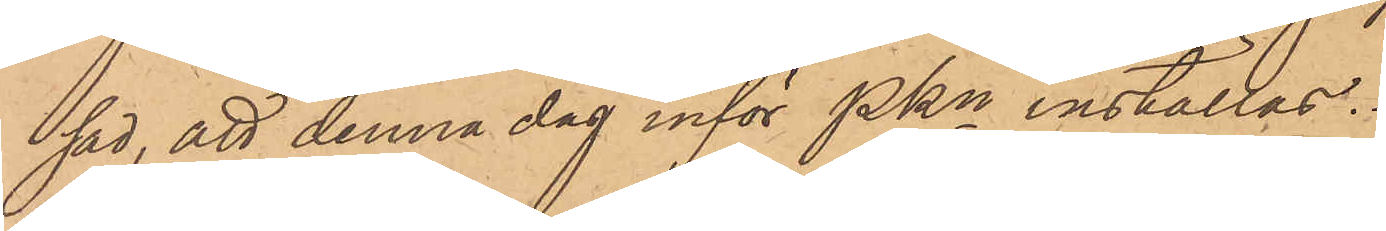sad, att denna dag inför PKn inställas.
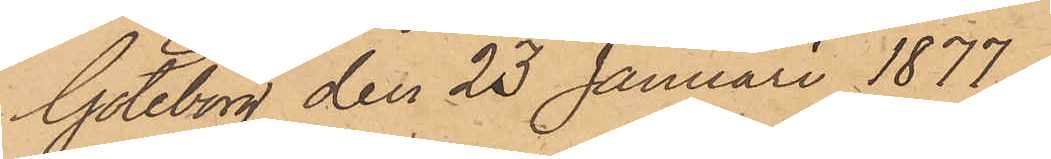Göteborg den 23 Januari 1877
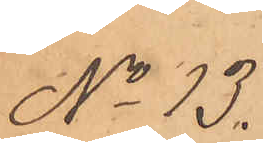No 13.
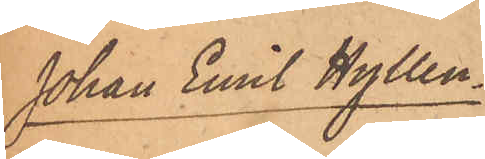Johan Emil Hyllen¬
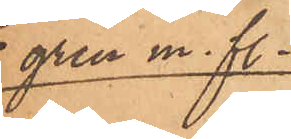gren m. fl.
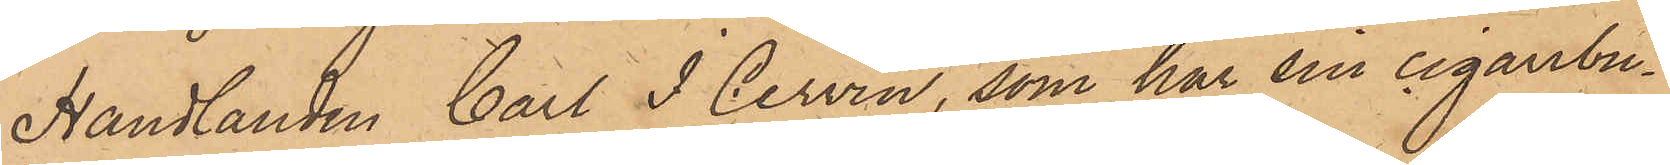Handlanden Carl I Cervin, som har sin cigarrbu¬
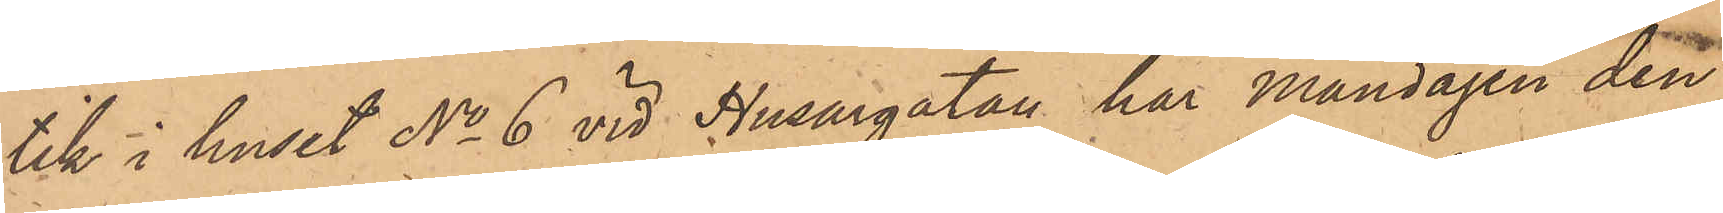tik i huset No 6 vid Husargatan, har Måndagen den
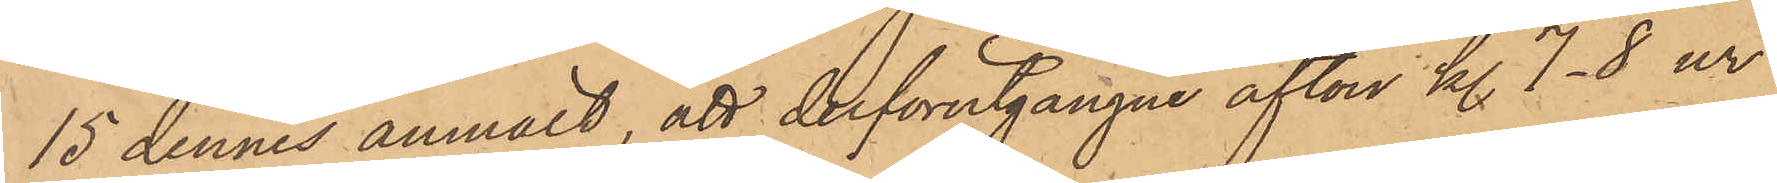15 dennes anmält, att derförutgångne afton kl. 7-8 ur
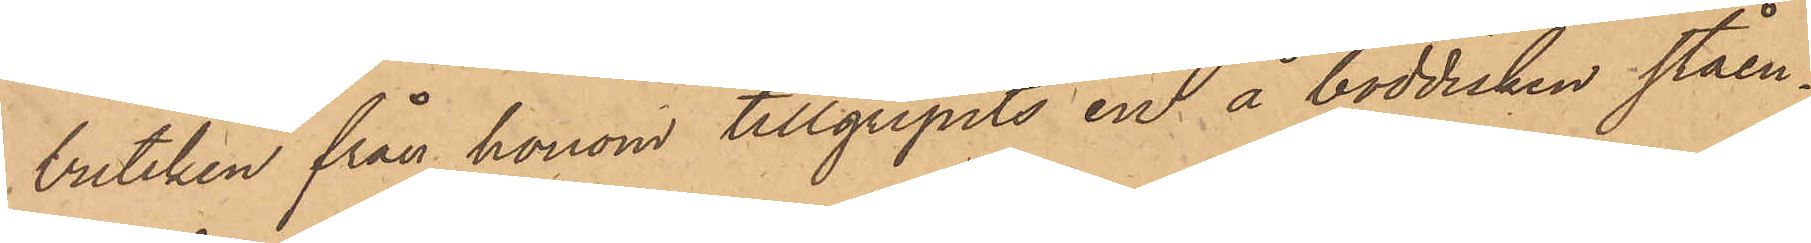butiken från honom tillgripits en å boddisken ståen¬
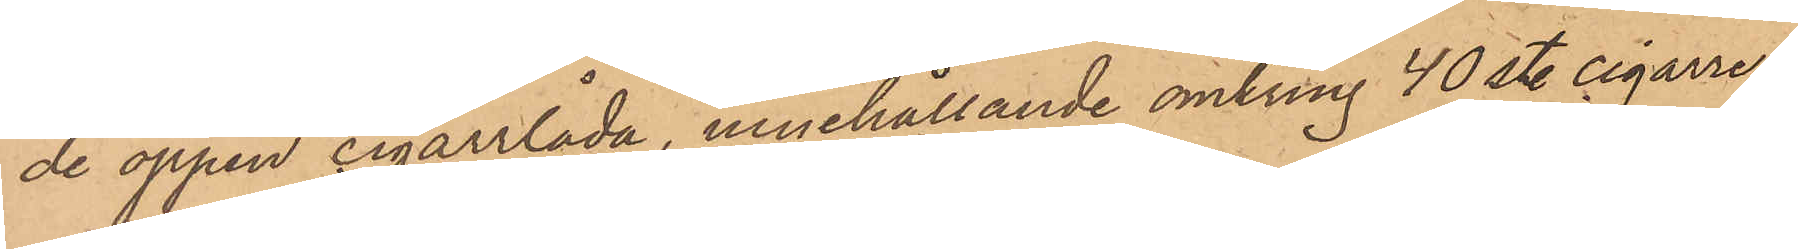de öppen cigarrlåda, innehållande omkring 40 st. cigarrer
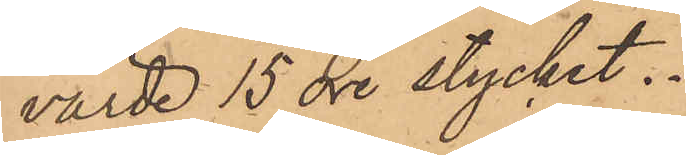värde 15 öre stycket.
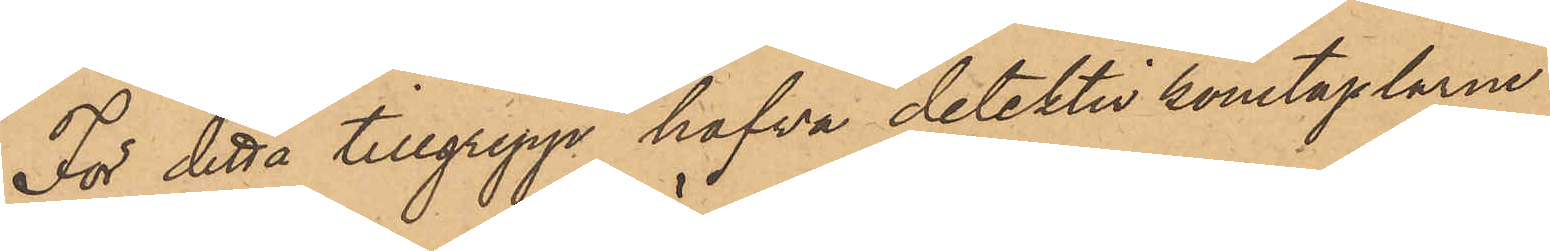För detta tillgrepp hafva detektivkonstaplarne
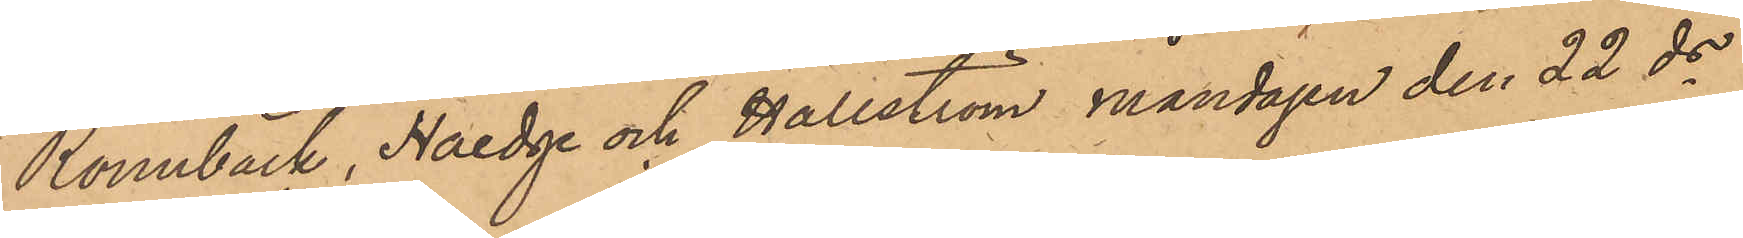Rönnbäck, Haedge och Hällström måndagen den 22 ds
